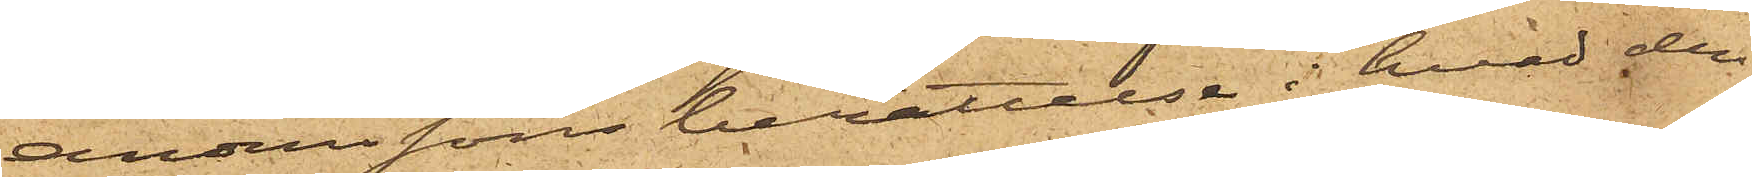Anderssons berättelse i hvad den
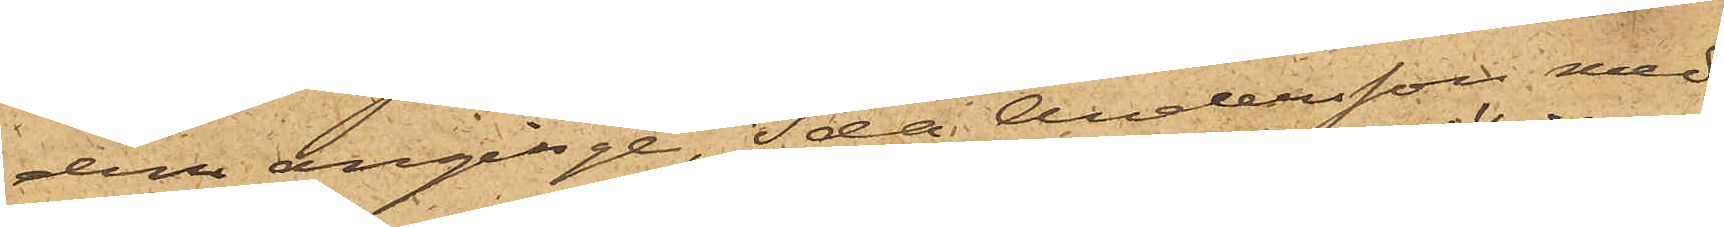dem anginge, Ida Andersson med
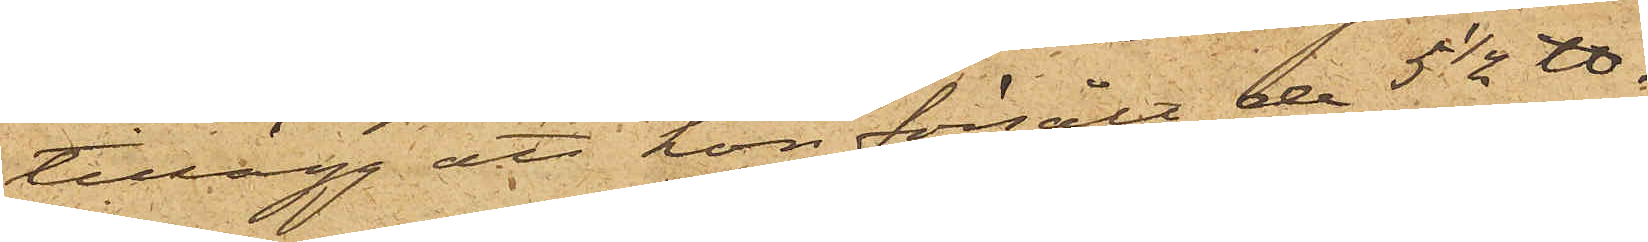tillägg att hon försålt de 5 1/2 ℔.
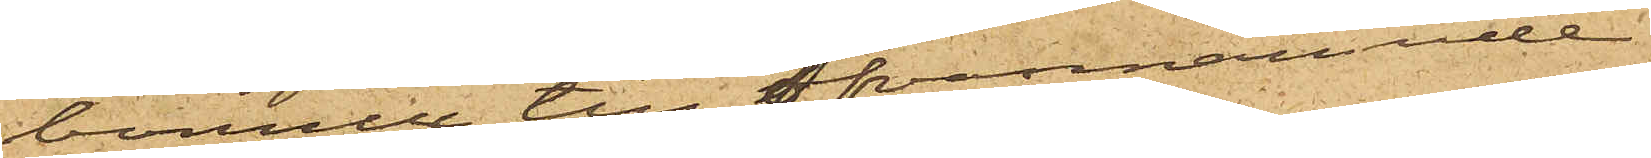bomull till ofvannämnde
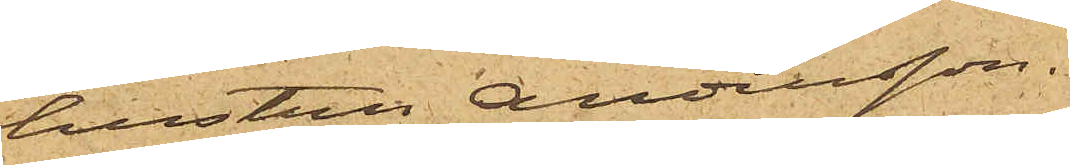hustru Andersson.
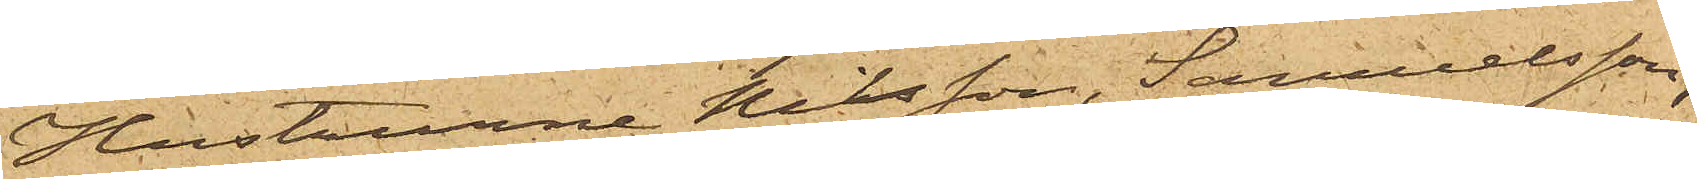Hustrurne Nilsson, Samuelsson,
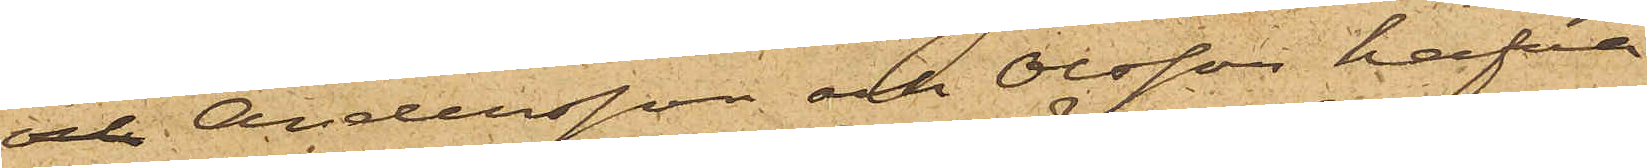och Andersson och Olsson hafva
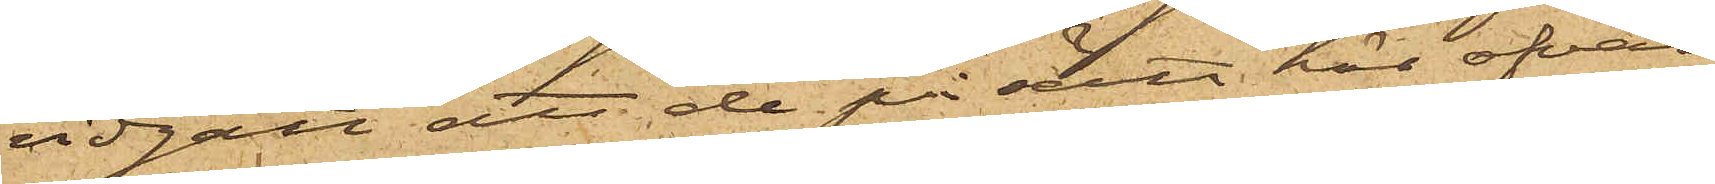vidgått att de på sätt här ofvan
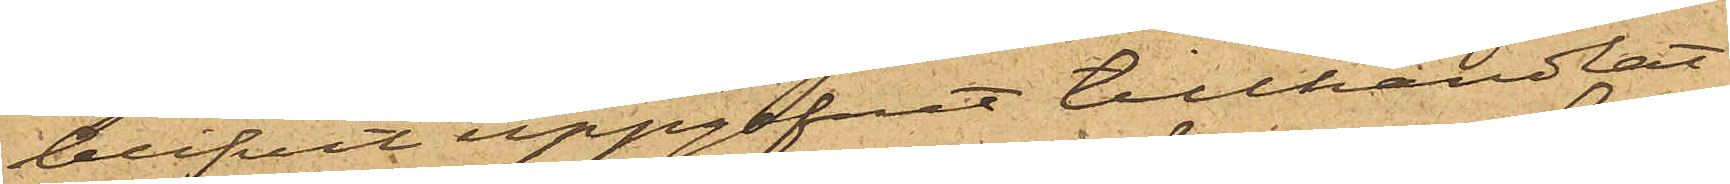blifvit uppgifvit tillhandlat
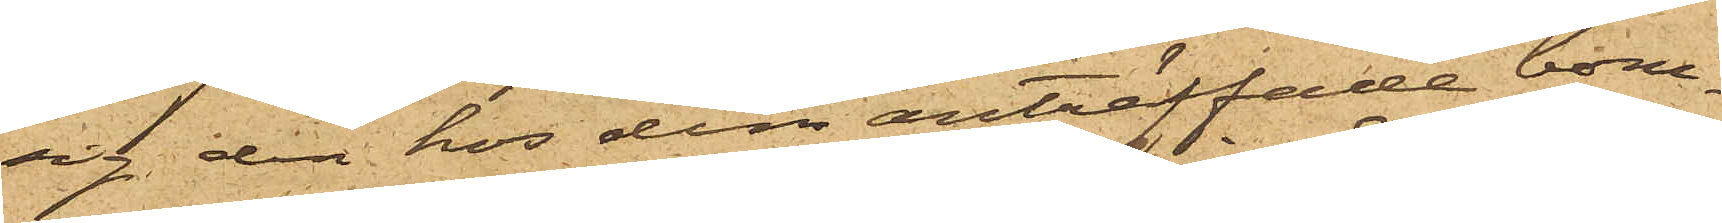sig den hos dem anträffade bom¬
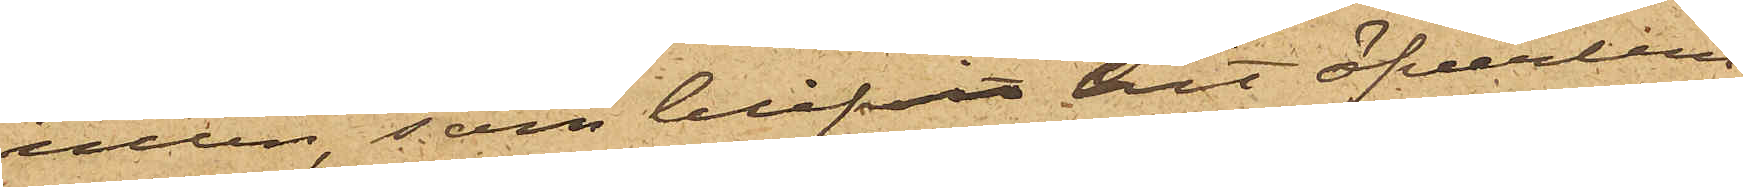ullen, som blifvit hit öfverlem¬
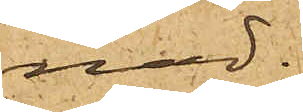nad.
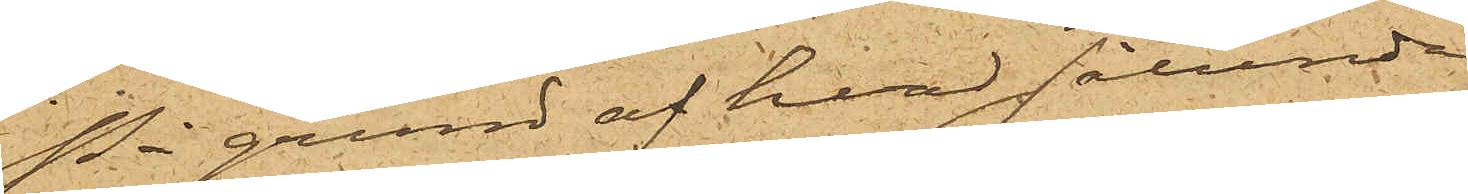På grund af hvad sålunda
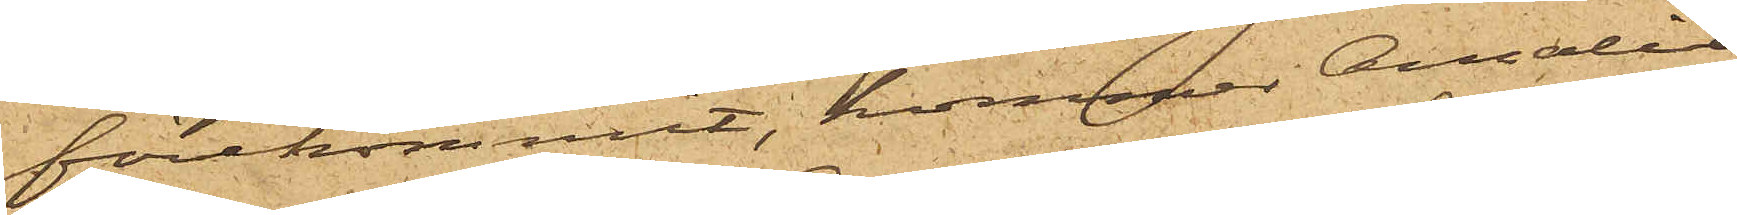förekommit, kommer Amalia
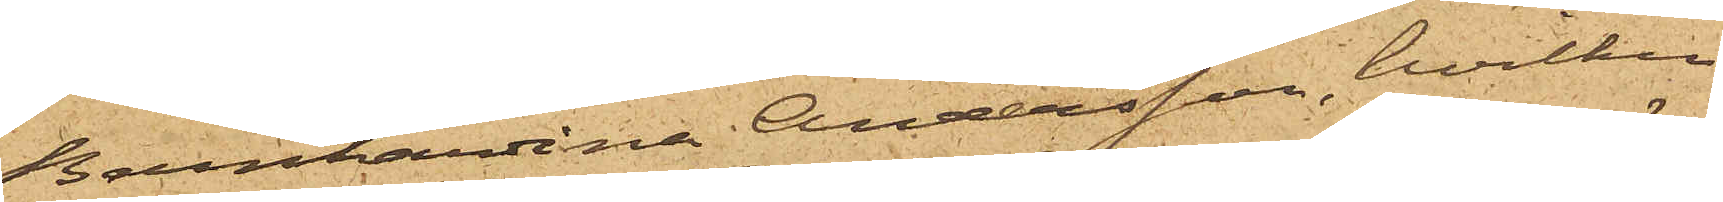Bernhardina Andersson, hvilken
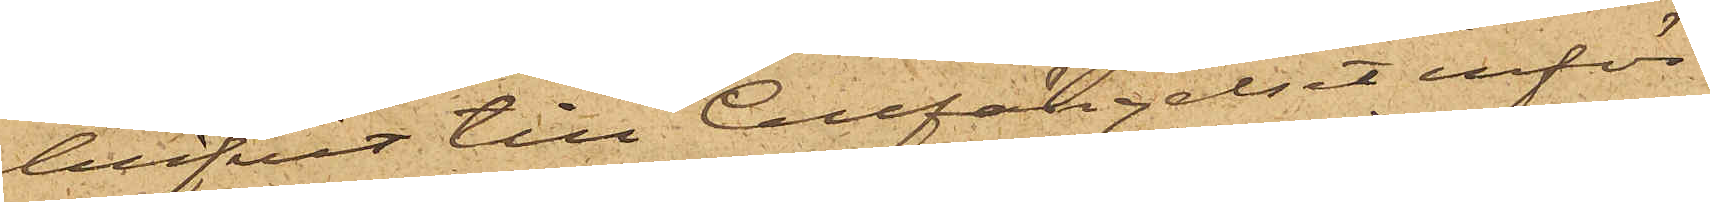blifvit till Cellfängelset inför¬
